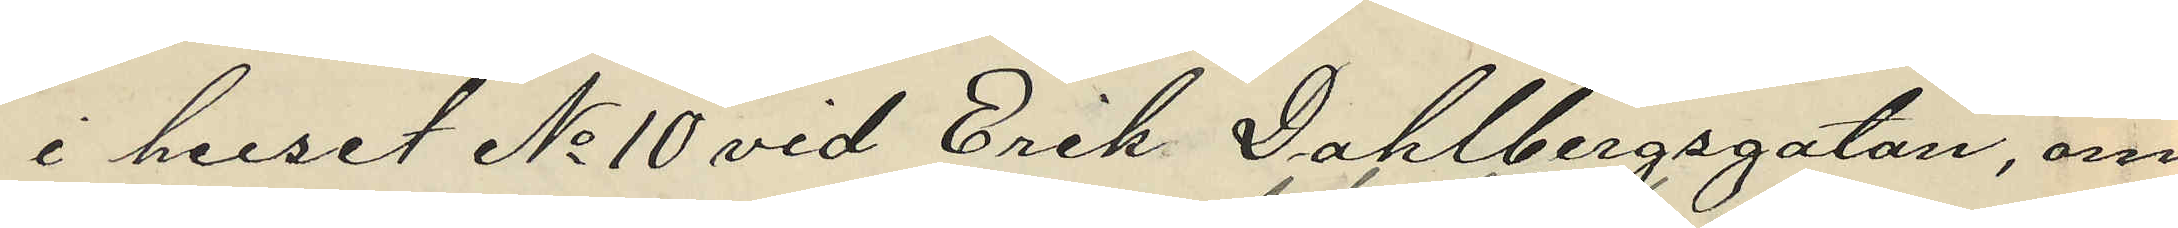i huset No 10 vid Erik Dahlbergsgatan, om¬
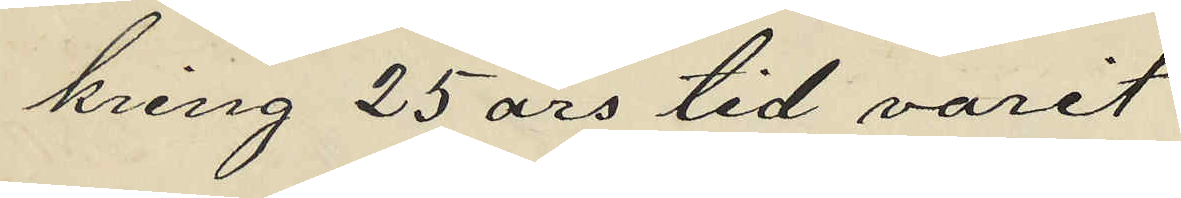kring 25 års tid varit
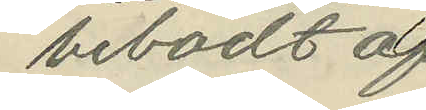bebodt af
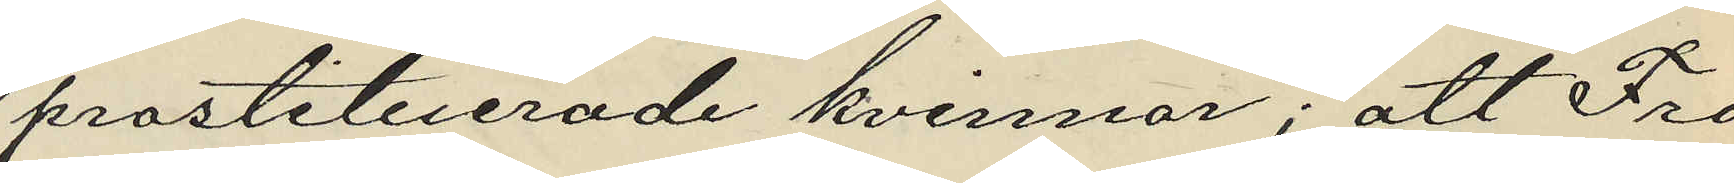prostituerade kvinnor; att Fro¬
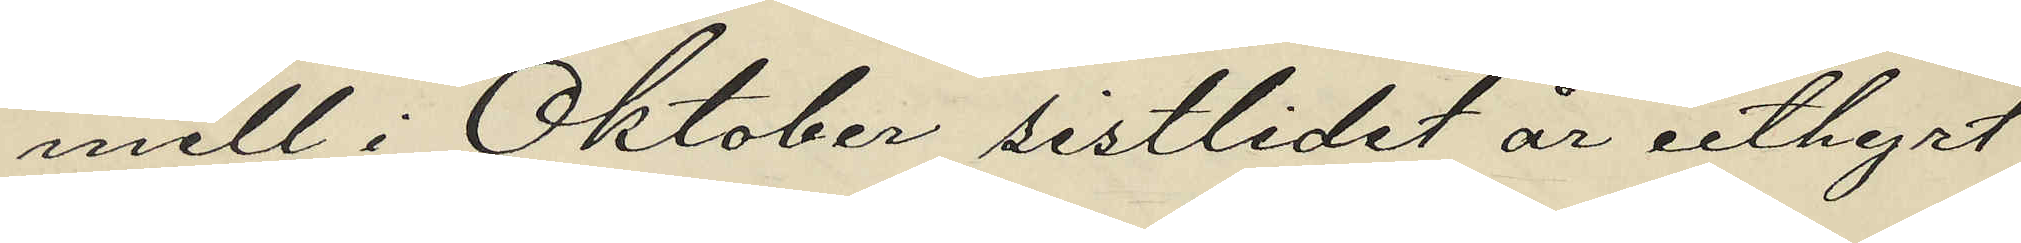mell i Oktober sistlidne år uthyrt
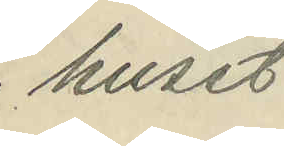huset
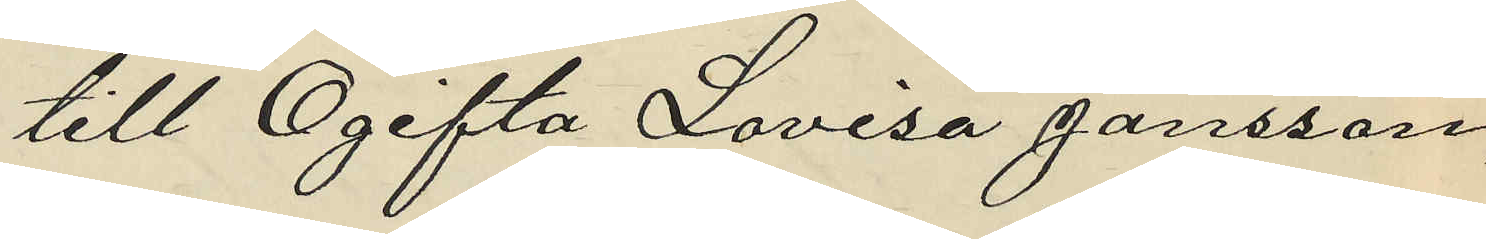till Ogifta Lovisa Jansson,
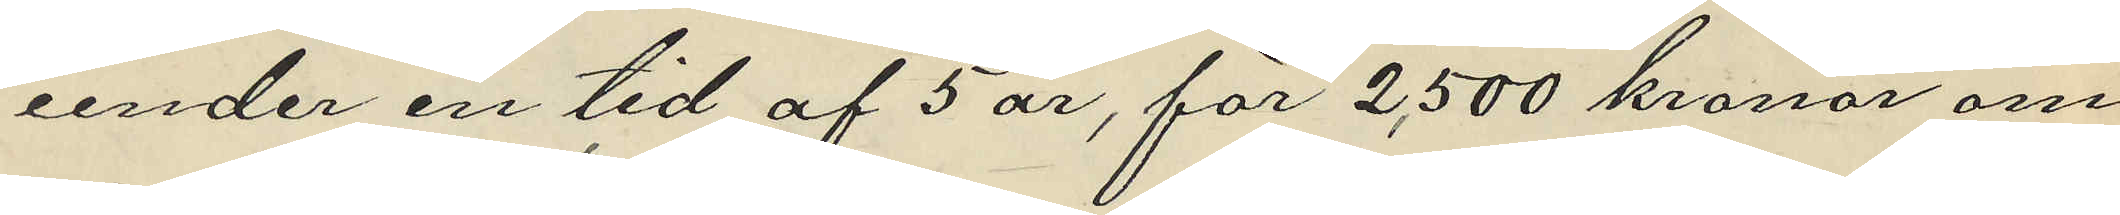under en tid af 5 år, för 2,500 kronor om
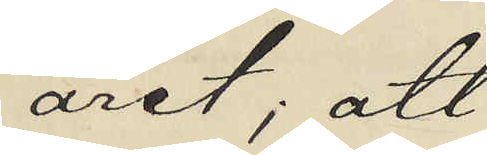året; att
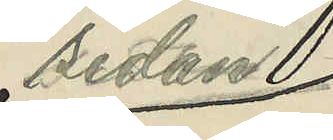sedan
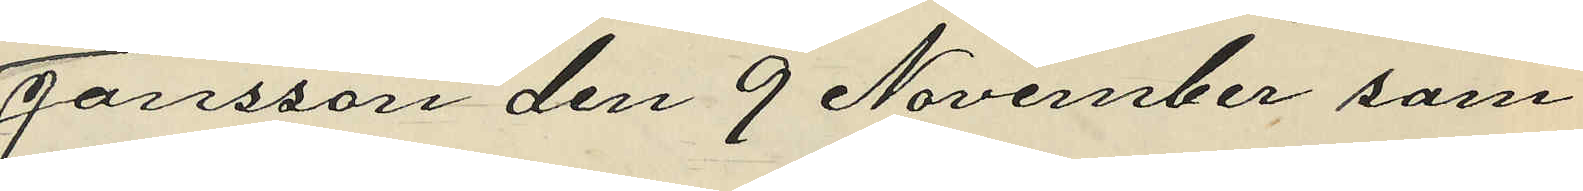Jansson den 9 November sam¬
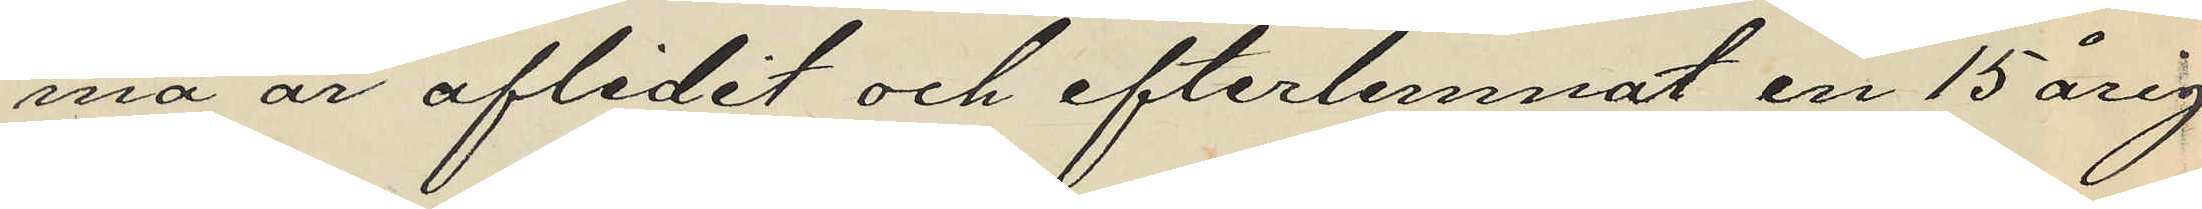ma år aflidit och efterlemnat en 15årig
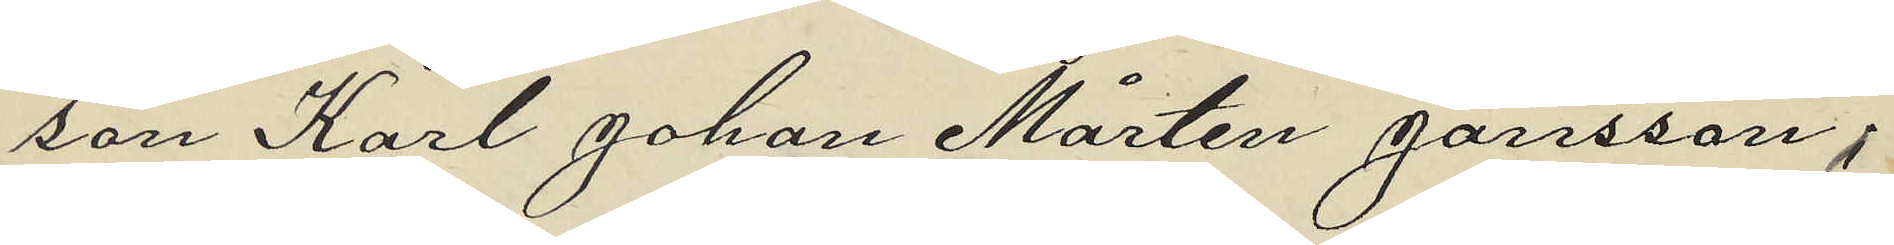son Karl Johan Mårten Jansson,
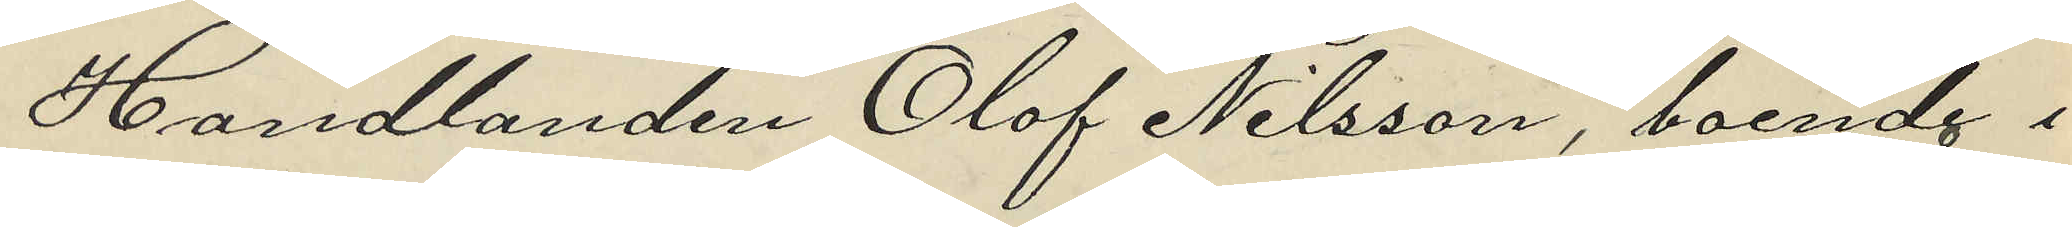Handlanden Olof Nilsson, boende i
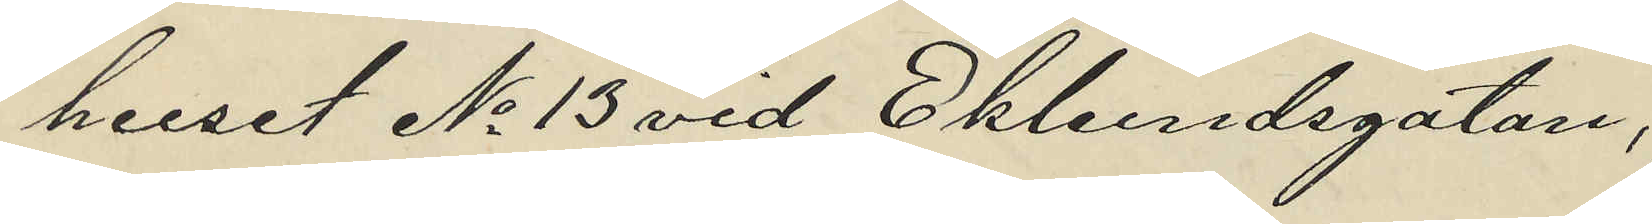huset No 13 vid Ekelundsgatan,
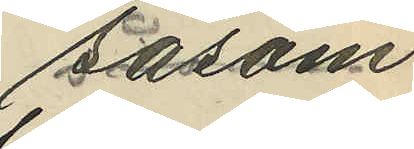såsom
